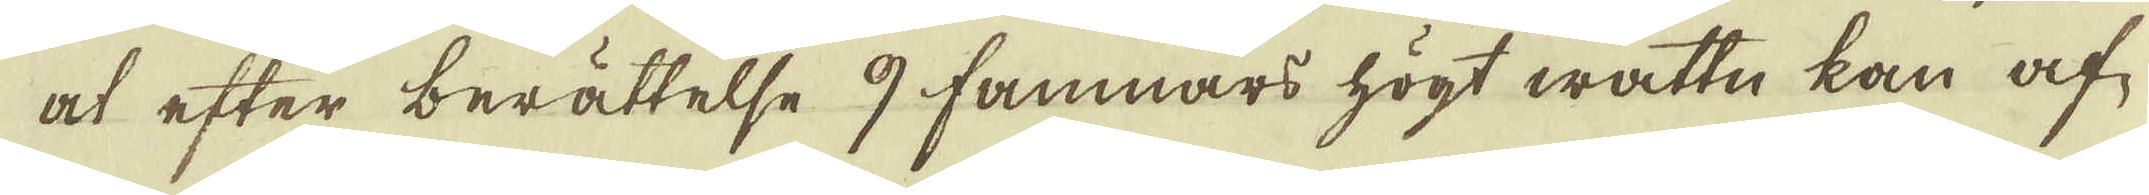at efter berättelse 9 famnars högt wattn kan af-
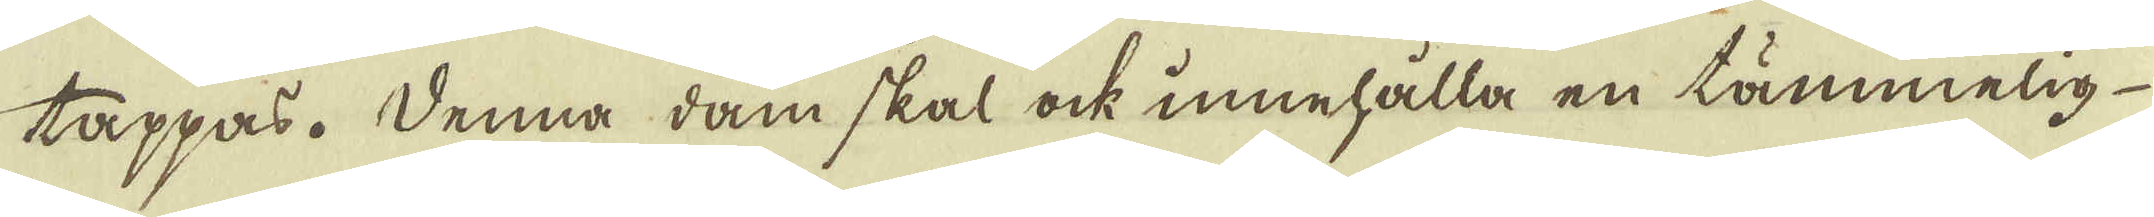tappas. Denna dam skal ock innehålla en tämmelig
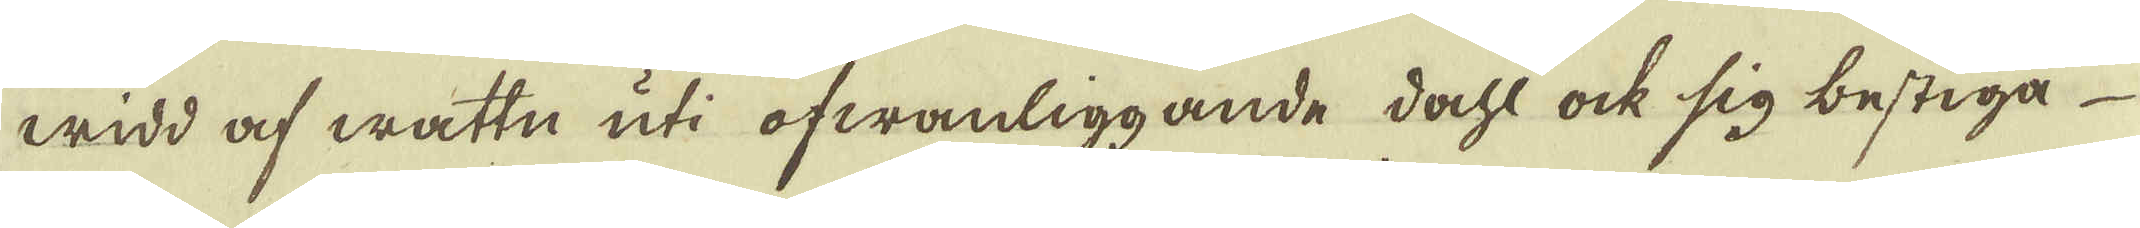widd af wattn uti ofwanliggande dahl ock sig bestiga
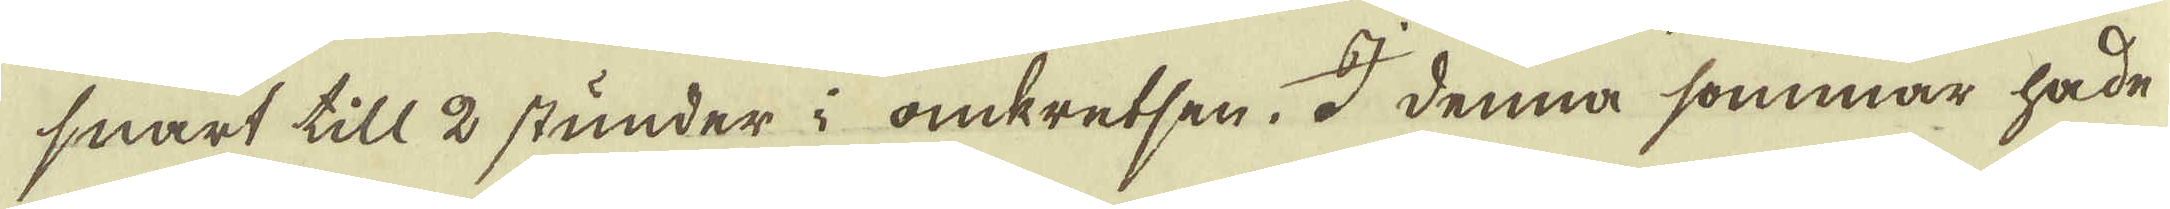snart till 2 stunder i omkretsen. I denna sommar hade
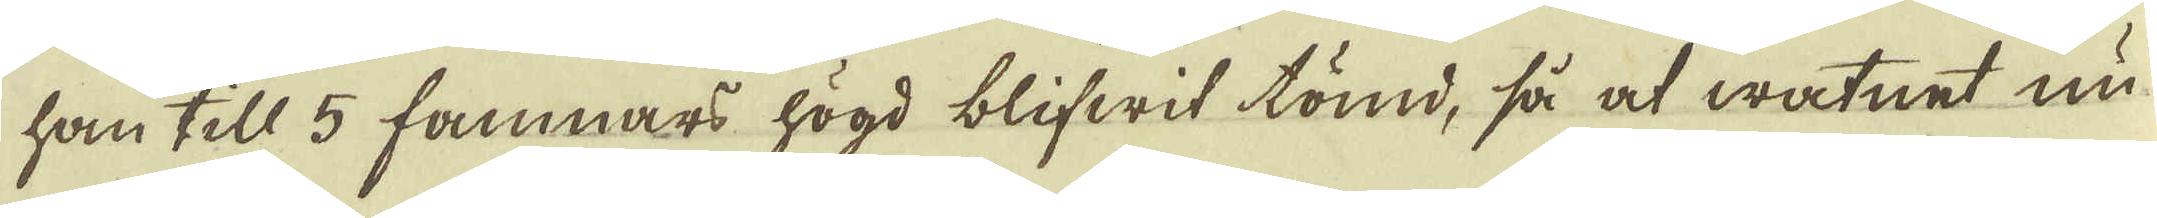han till 5 famnar högd blifwit tömd, så at watnet nu
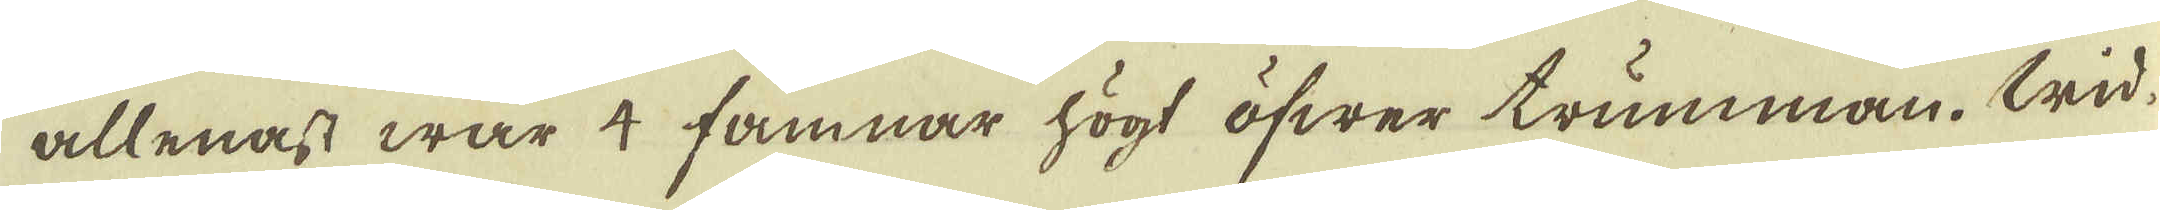allenast war 4 famnar högt öfwer trumman. Wid
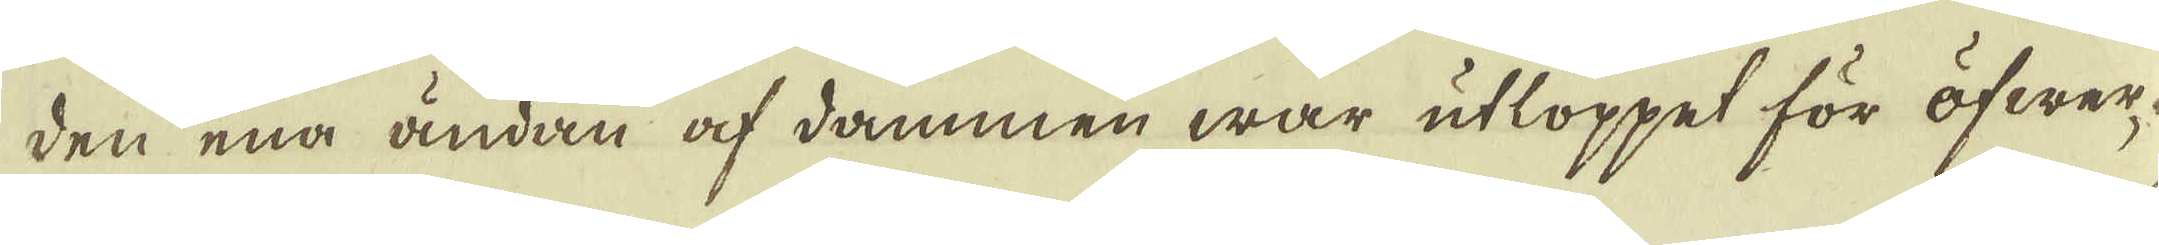den ena ändan af dammen war utloppet för öfwer-
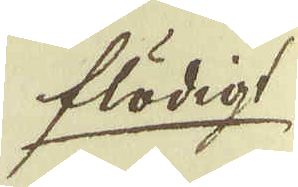flödigt
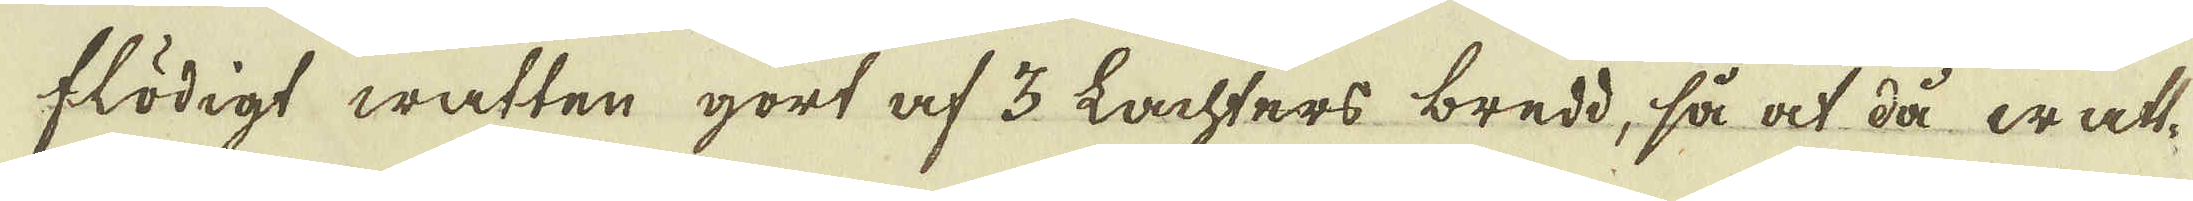flödigt watten gort af 3 Lachters bredd, så at då watt-
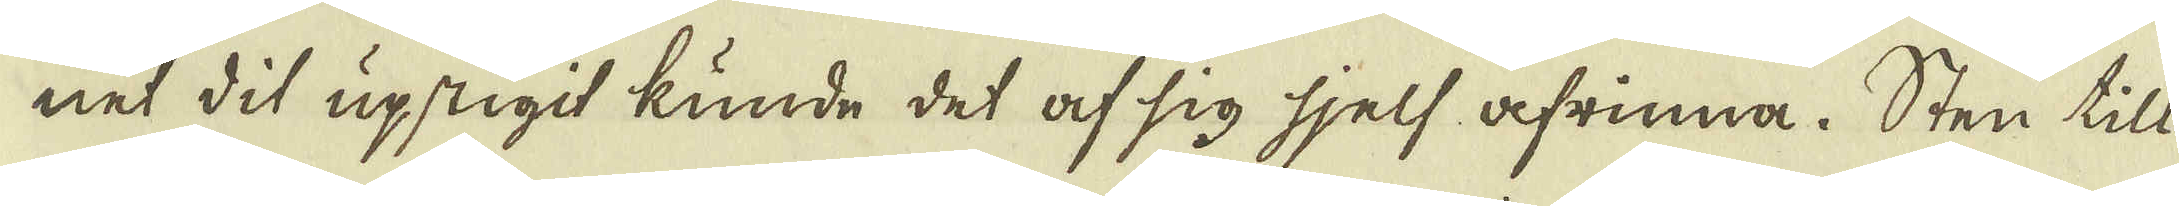net dit upstigit kunde det af sig sjelf afrinna. Sten till
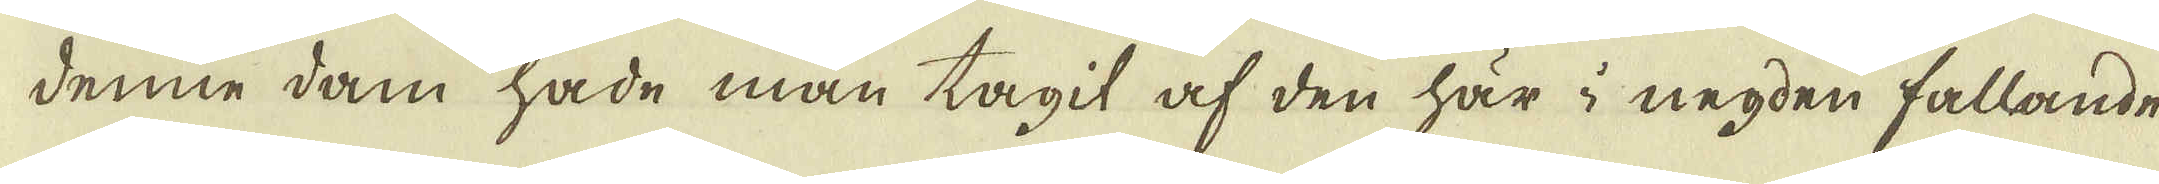denne dam hade man tagit af den här i negden fallande
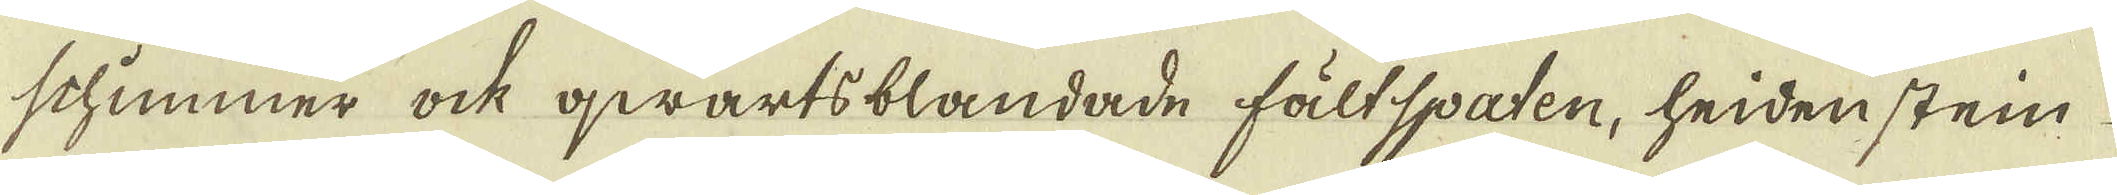schimmer ock qwartsblandade fältspaten, heidenstein
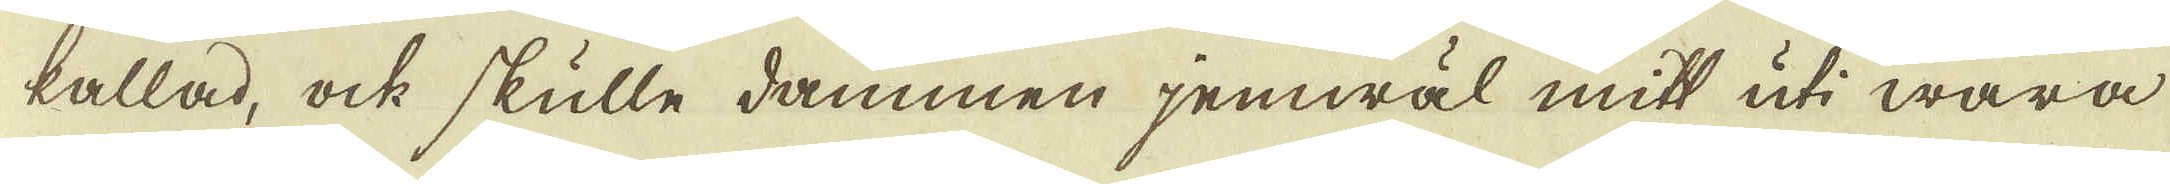kallad, ock skulle dammen jemwäl mitt uti wara
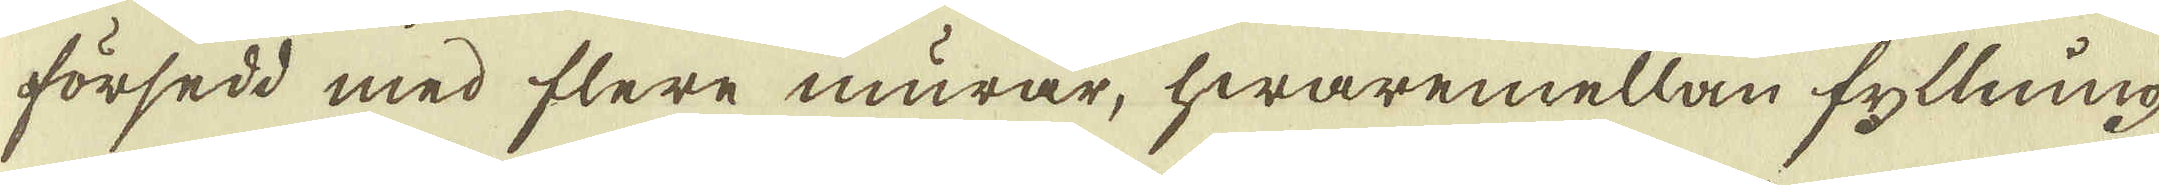försedd med flere murar, hwaremellan fyllning
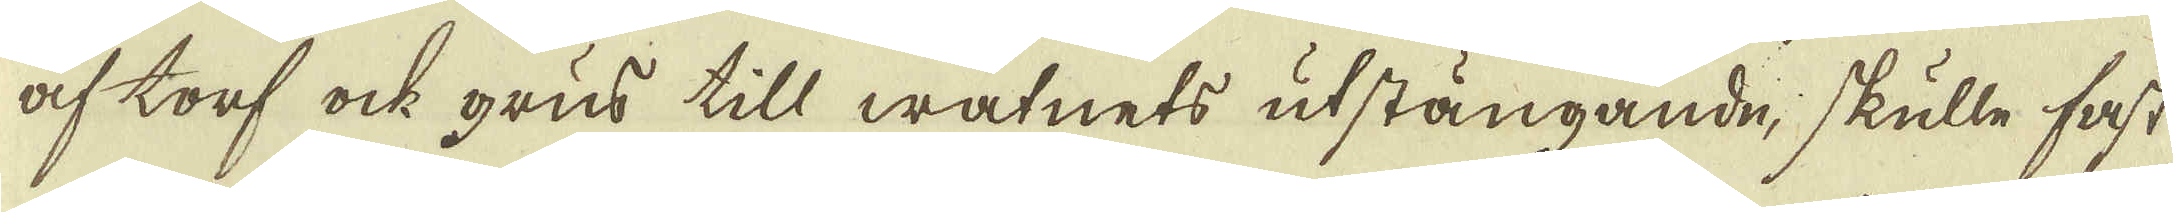af torf ock grus till watnets utstängande, skulle fast
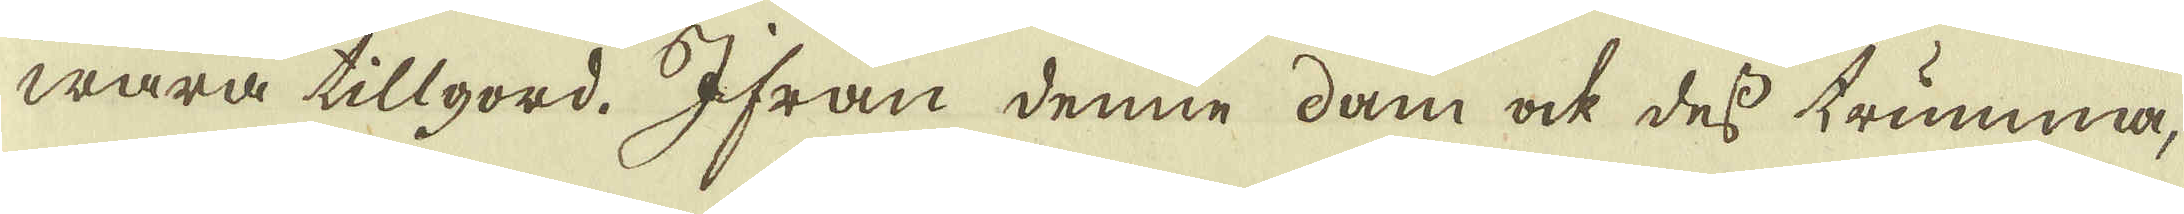wara tillgord. Ifrån denne dam ock dess trumma,
